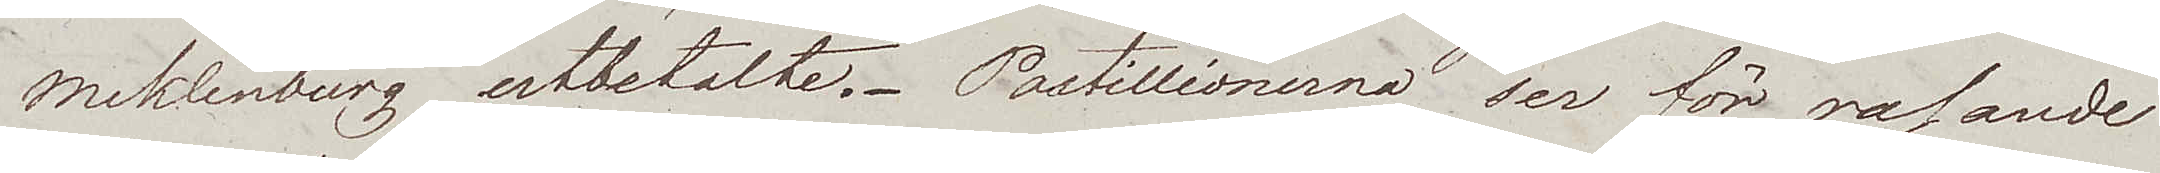Meklenburg utbetalte. Postillionerna ser för rasande
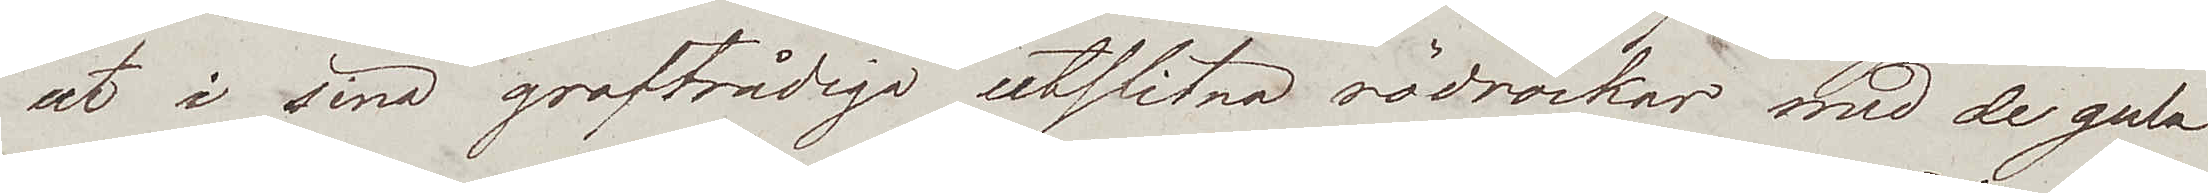ut i sina groftrådiga utslitna rödrockar med de gula
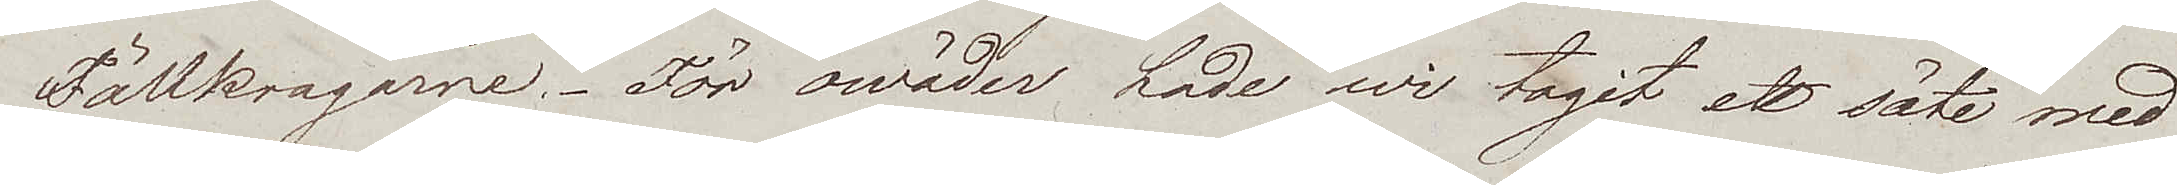Fällkragarne. För owäder hade wi tagit ett säte med
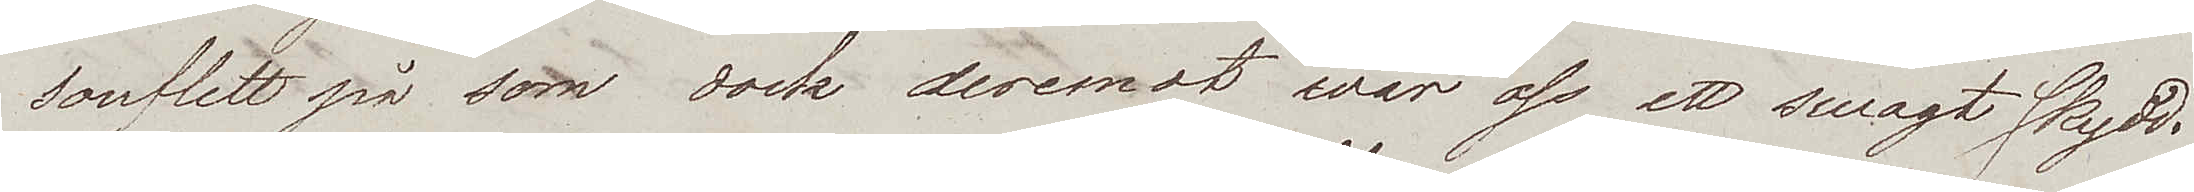souflett på som dock deremot war oss ett swagt skydd.
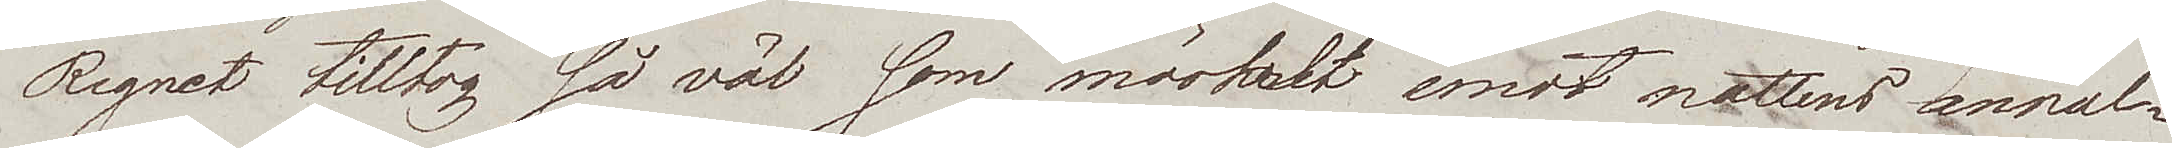Regnet tilltog så väl som mörkret emot nattens annal¬
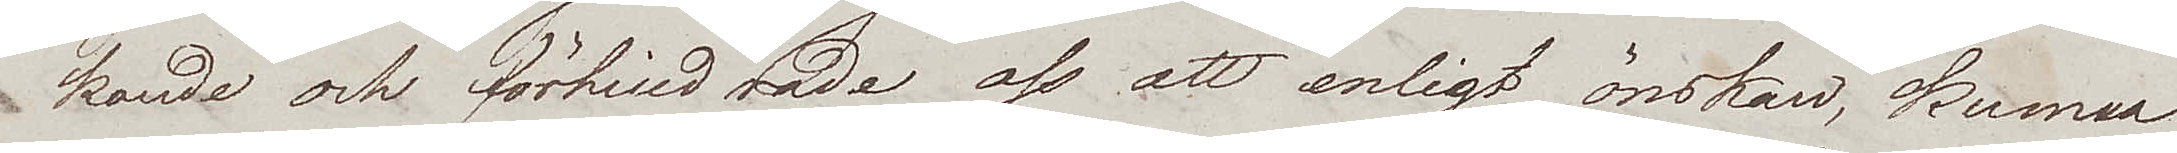kande och förhindrade oss att enligt önskan, kunna
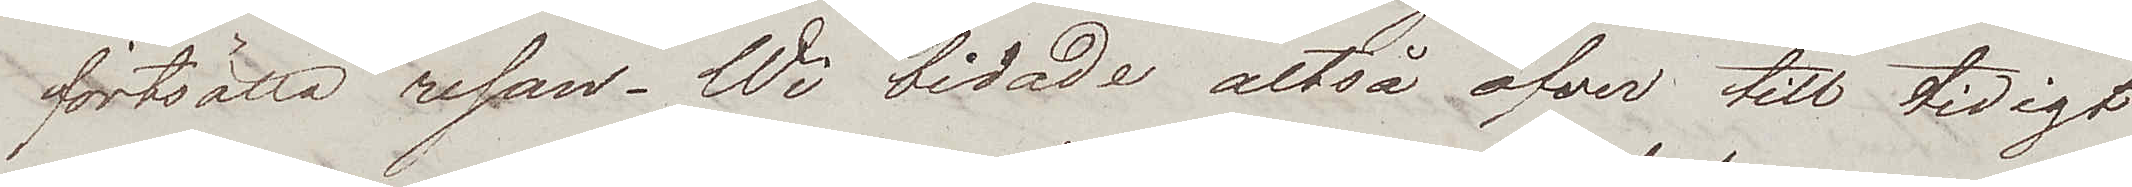fortsätta resan. Wi bidade altså öfver till tidigt
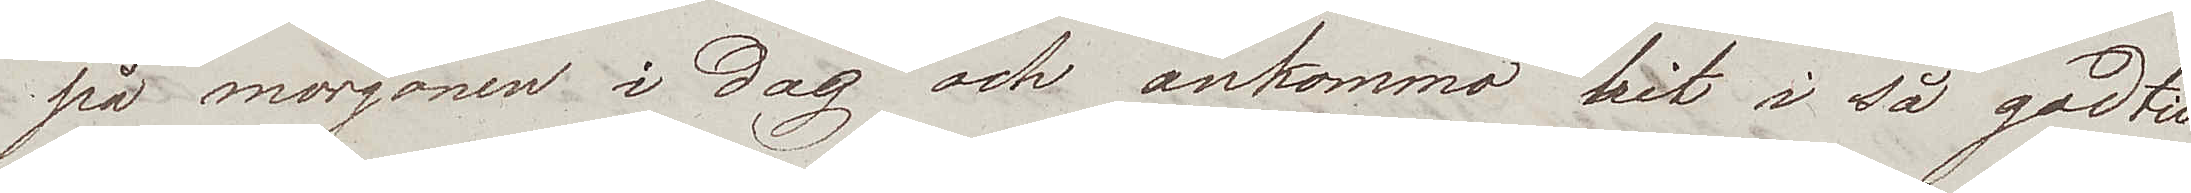på morgonen i dag och ankommo hit i så god tid
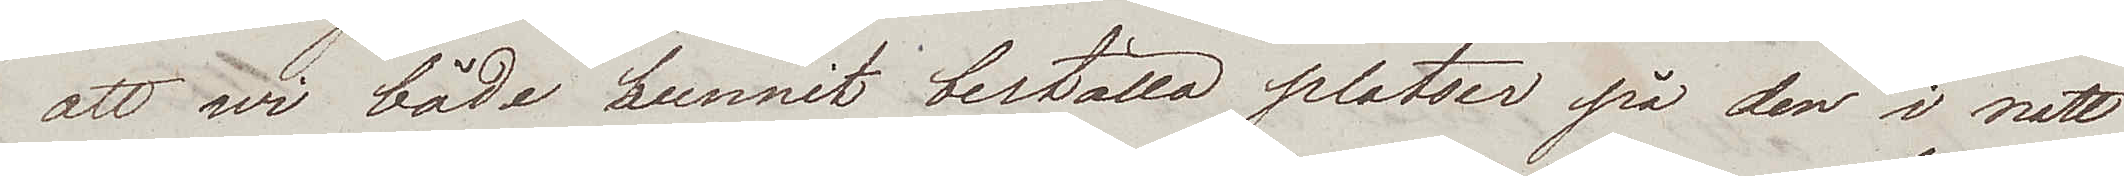att wi både hunnit beställa platser på den i natt
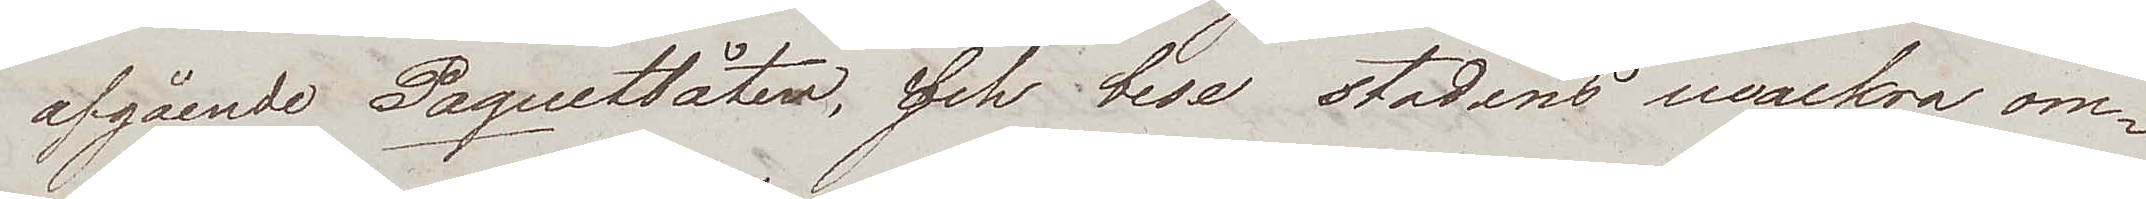afgående Paquetbåten, och bese stadens wackra om¬
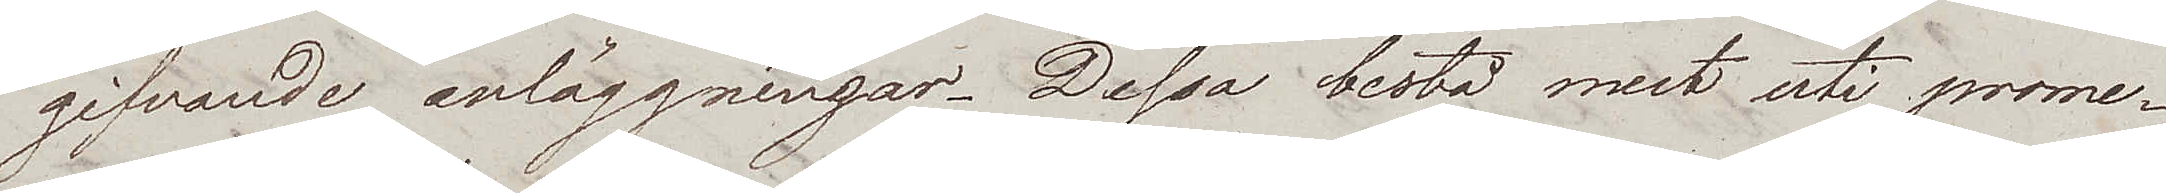gifvande anläggningar. Dessa bestå mest uti prome¬
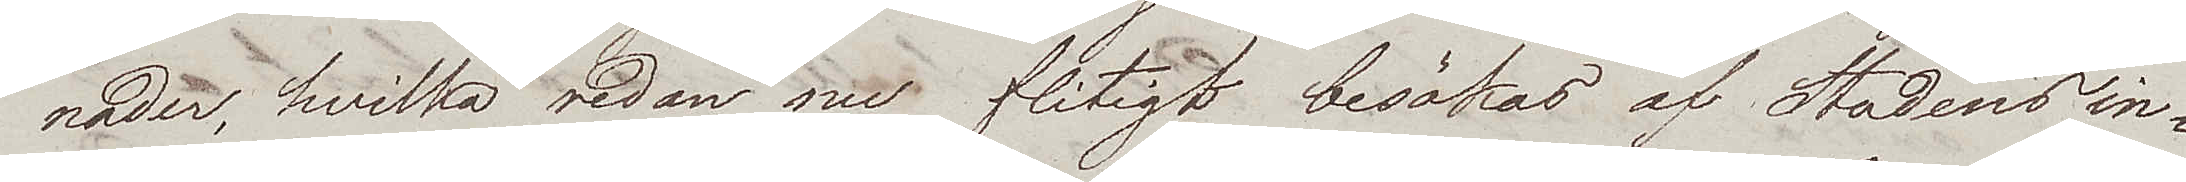nader, hvilka redan nu flitigt besökas af Stadens in¬
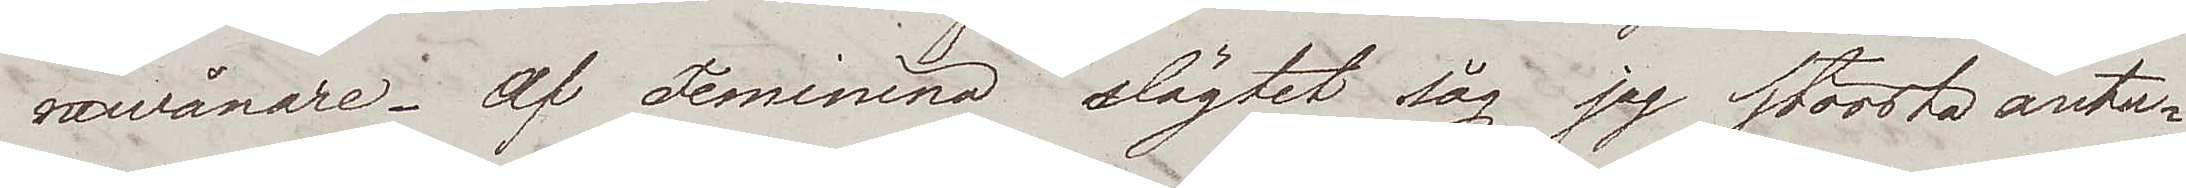newånare. Af Feminina slägtet såg jag största anta¬
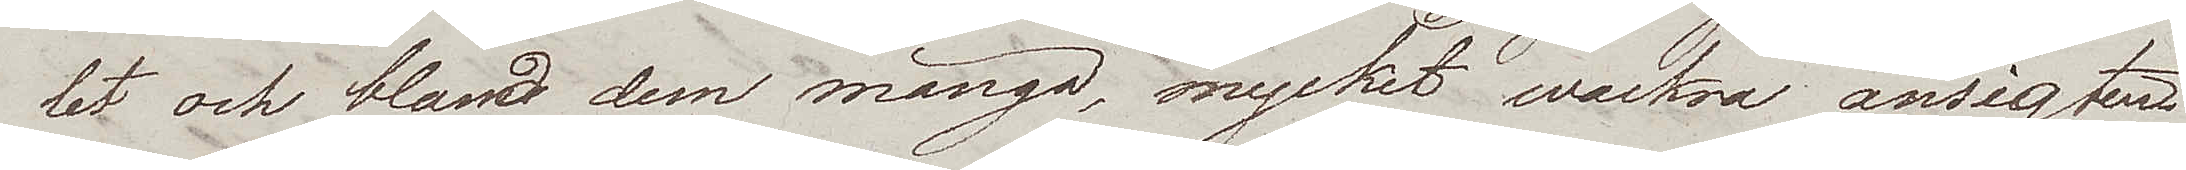let och bland dem många, mycket wackra ansigten.
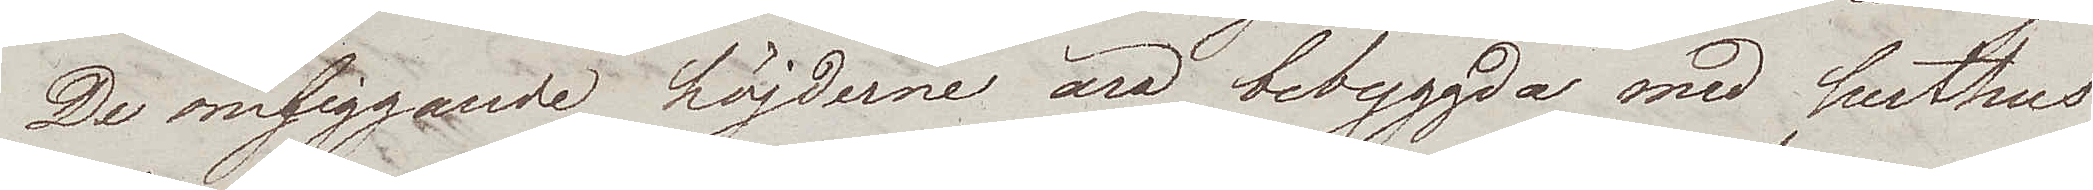De omliggande höjderne äro bebyggda med lusthus
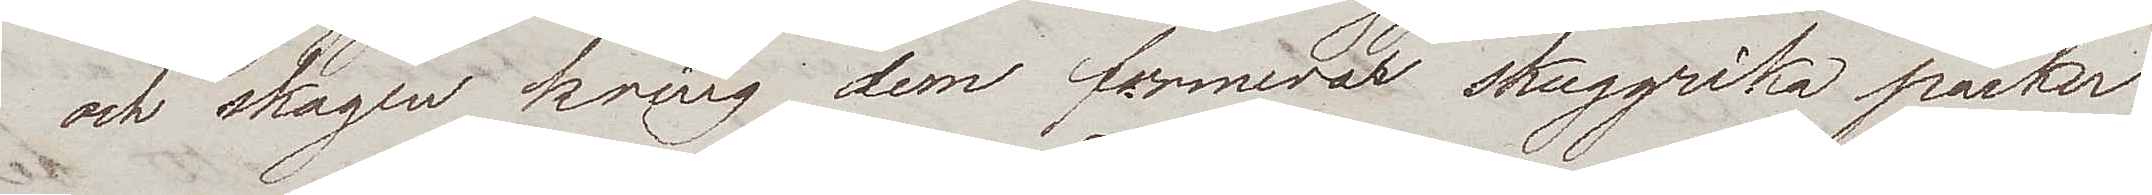och skogen kring dem formerar skuggrika parker
